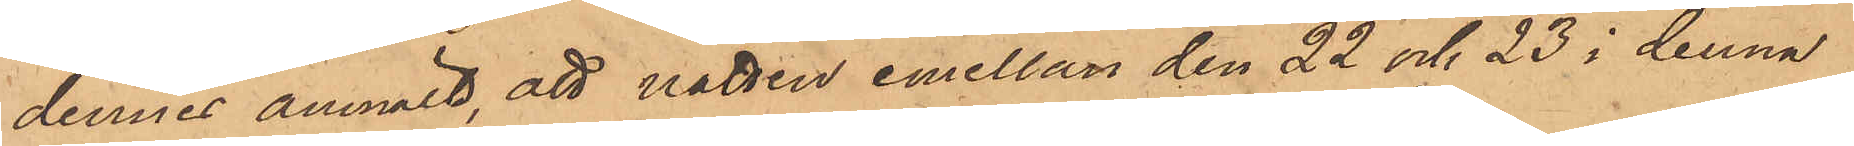dennes anmält, att natten emellan den 22 och 23 i denna
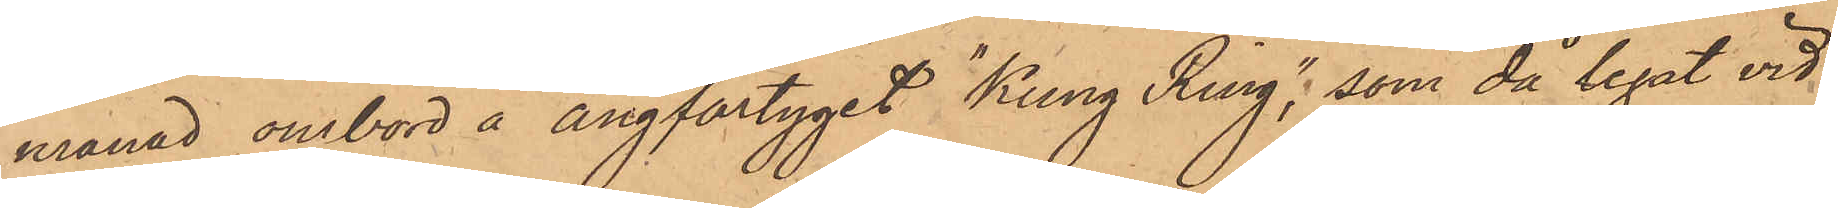månad ombord å Ångfartyget "Kung Ring", som då legat vid
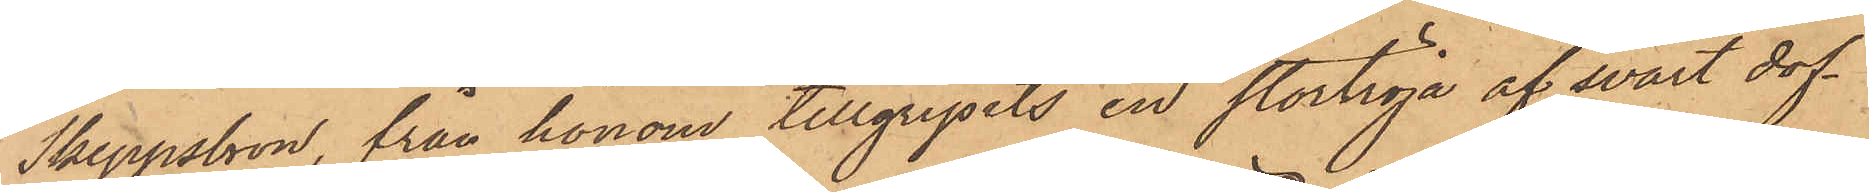Skeppsbron, från honom tillgripits en stortröja af svart dof¬
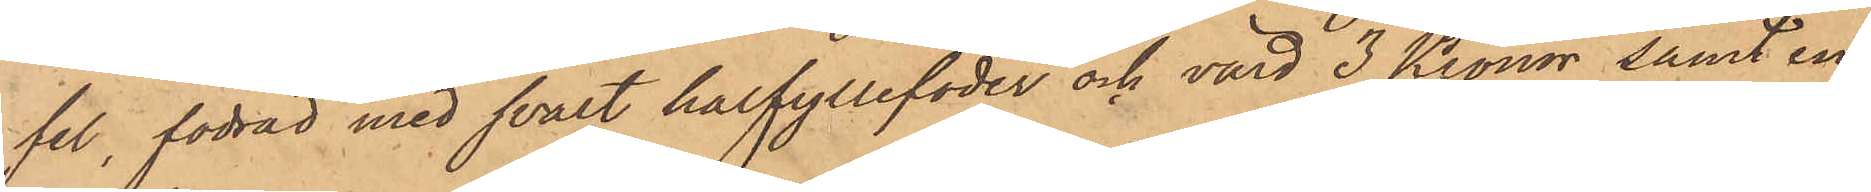sel, fodrad med svart halfyllefoder och värd 3 Kronor, samt en
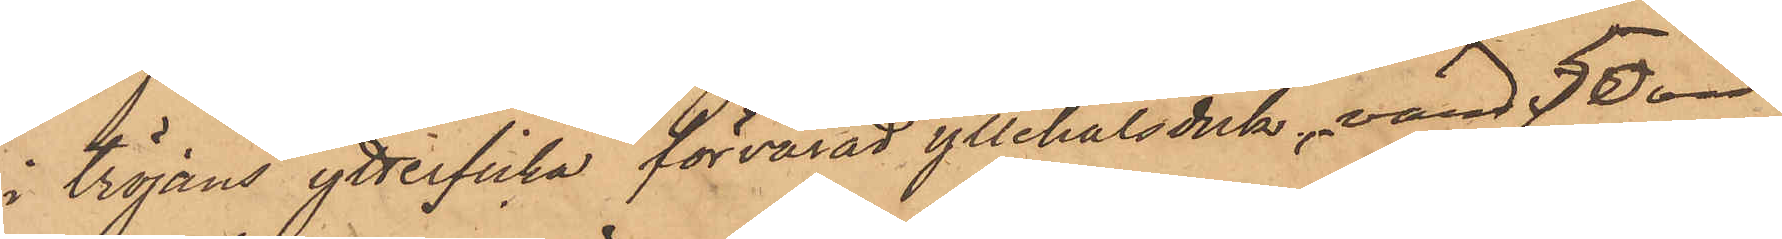i tröjans ytterficka förvarad yllehalsduk, värd 50 öre.
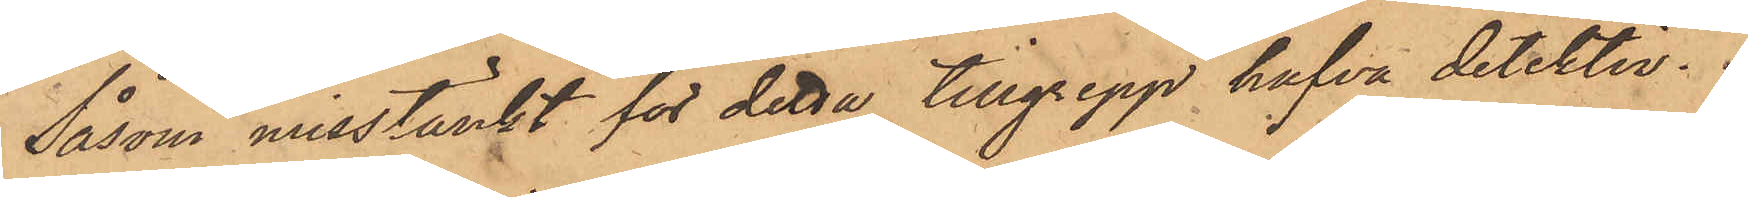Såsom misstänkt för detta tillgrepp hafva detektiv¬
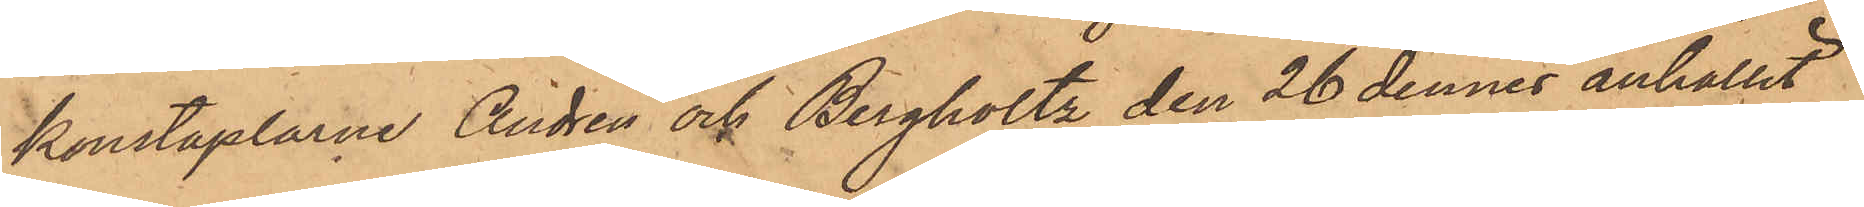konstaplarne Andrén och Bergholtz den 26 dennes anhållit
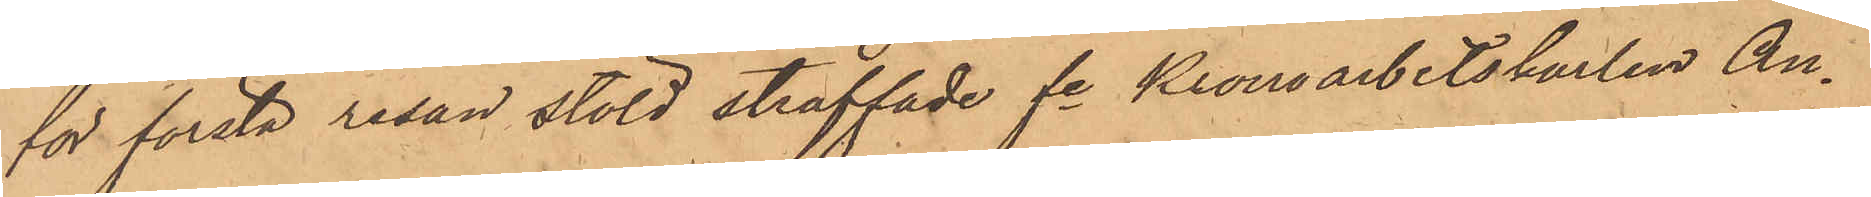för första resan stöld straffade fre Kronoarbetskarlen An¬
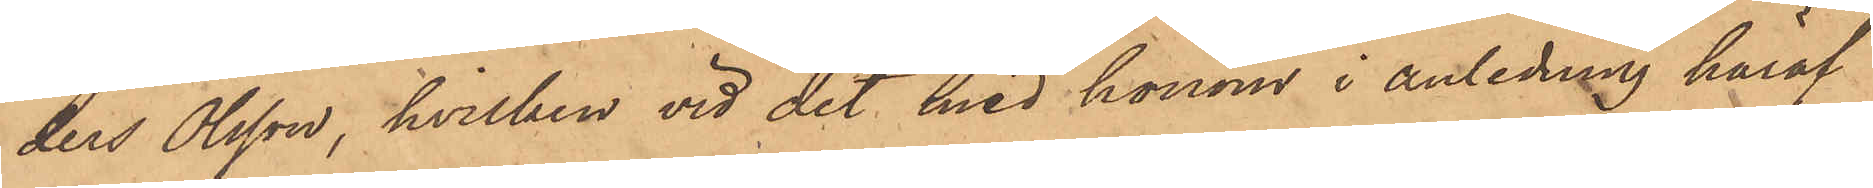ders Olsson, hvilken vid det med honom i anledning häraf
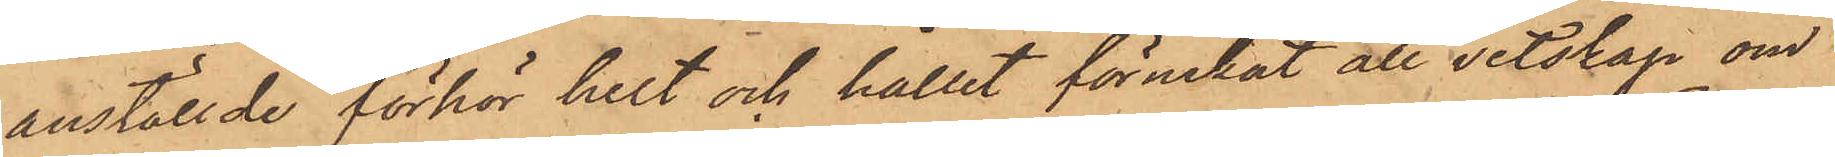anställde förhör helt och hållet förnekat all vetskap om
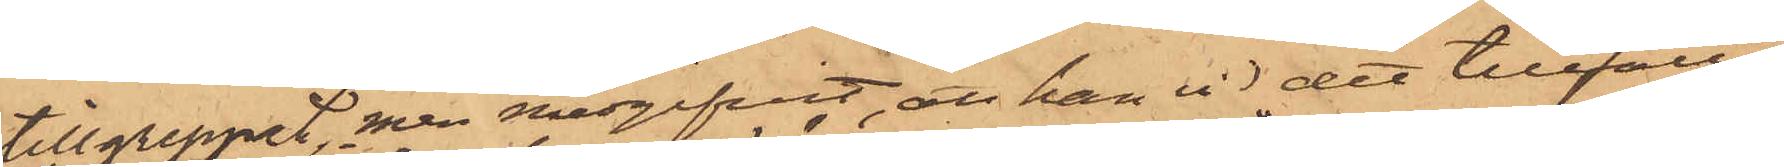tillgreppet men medgifvit, att han vid det tillfälle
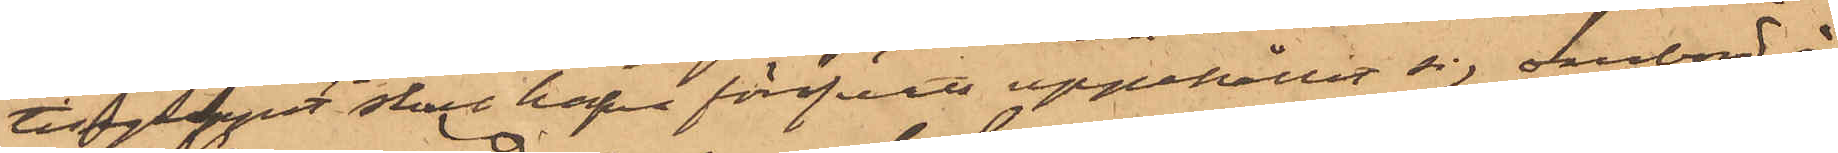tillgreppet skulle hafva föröfvats uppehållit sig ombord å
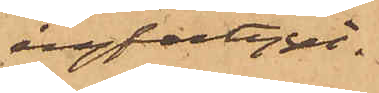ångfartyget.
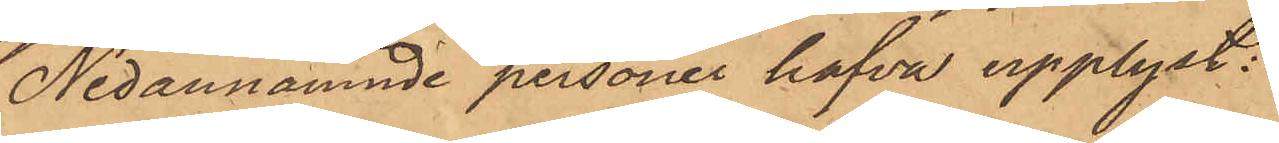Nedannämnde personer hafva upplyst:
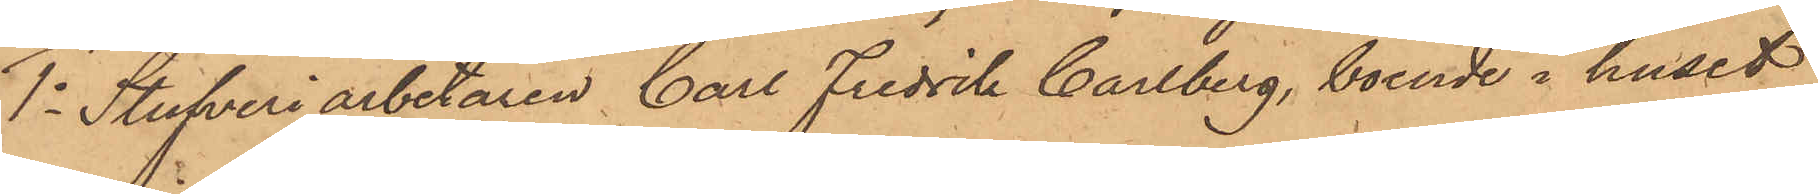1o Stufveriarbetaren Carl Fredrik Carlberg, boende i huset
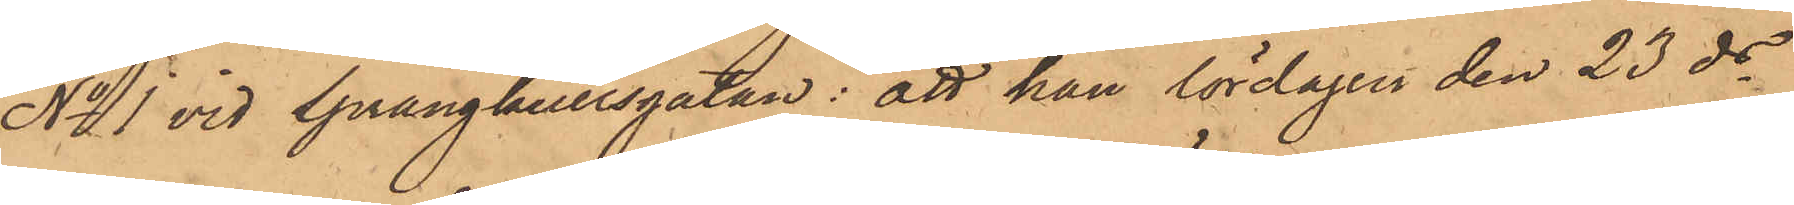No 1 vid Sprängkullsgatan: att han lördagen den 23 ds
